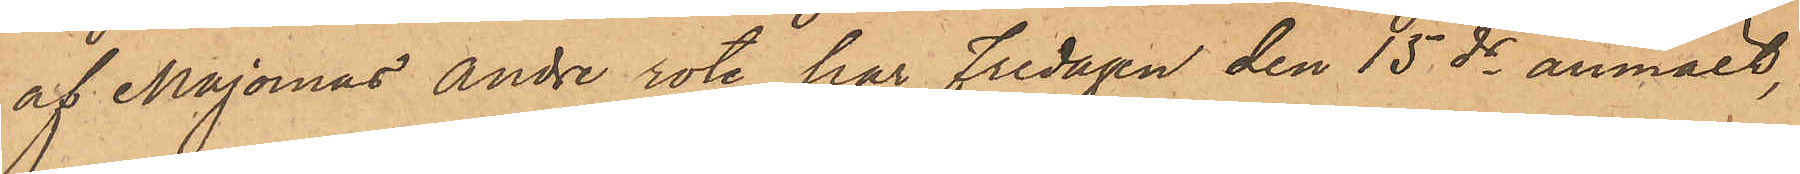af Majornas andre rote har Fredagen den 15 ds anmält,
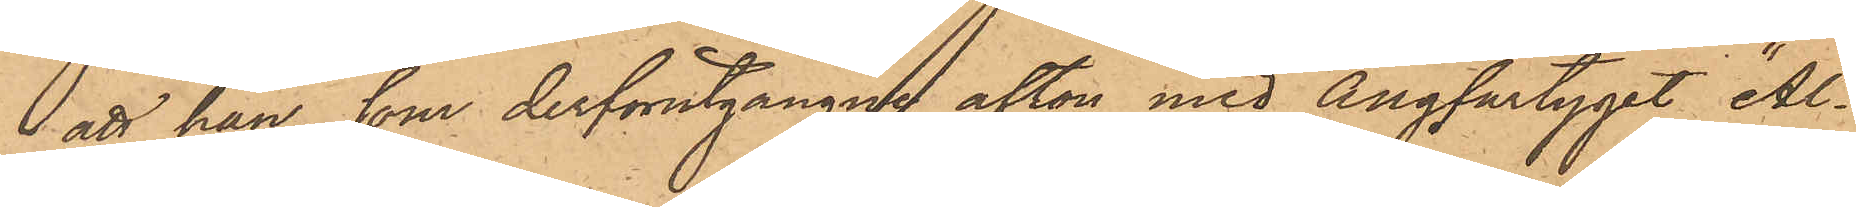att han, som derförutgångne afton med Ångfartyget "Al¬
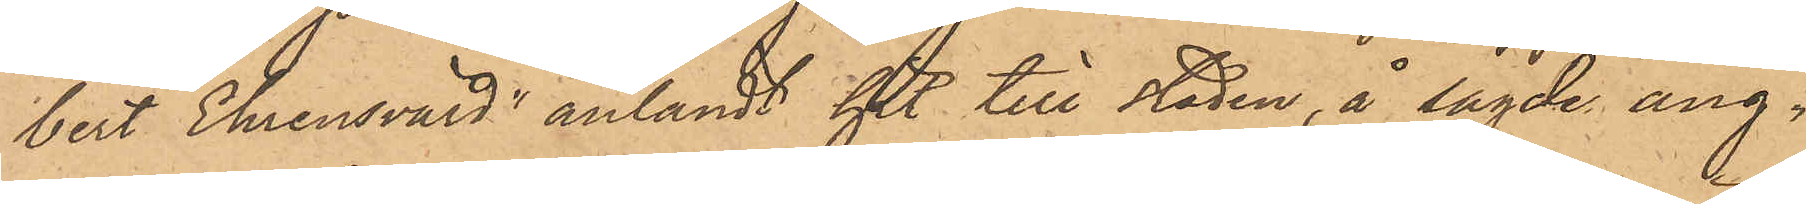bert Ehrensvärd" anländt hit till staden, å sagde ång¬
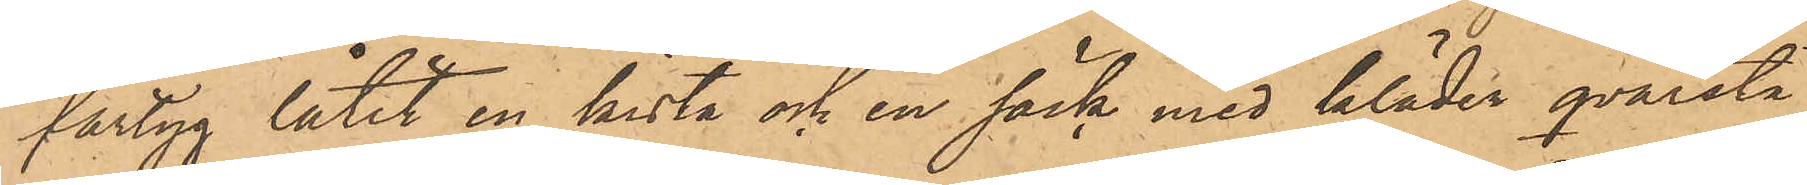fartyg låtit en kista och en säck med kläder qvarstå
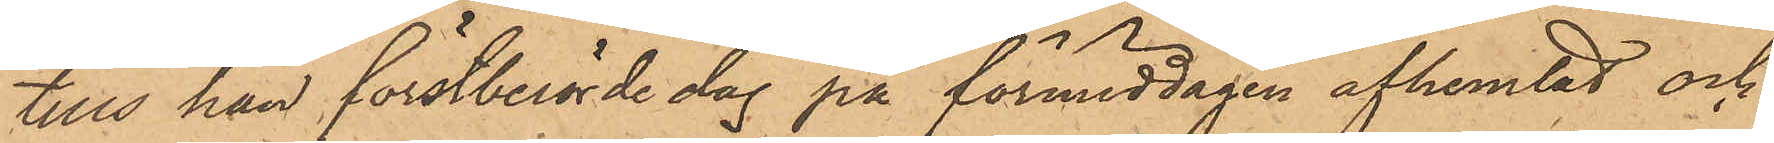tills han förstberörde dag på förmiddagen afhemtat och
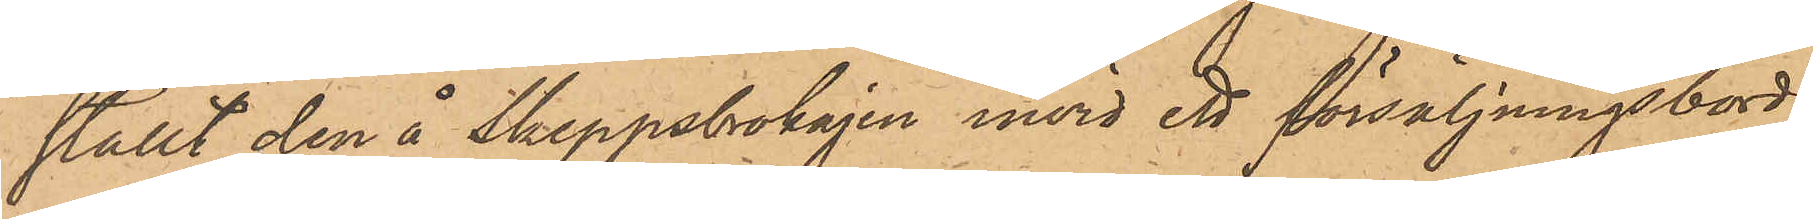ställt den å Skeppsbrokajen invid ett försäljningsbord;
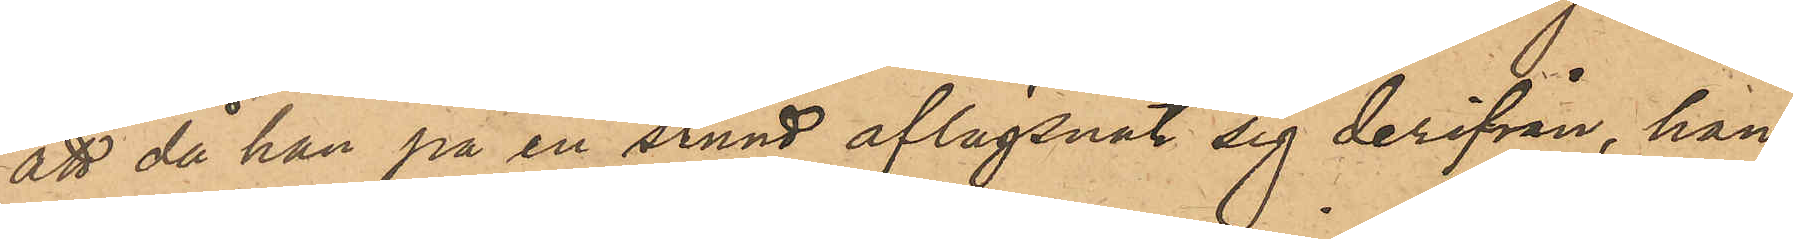att då han på en stund aflägsnat sig derifrån, han
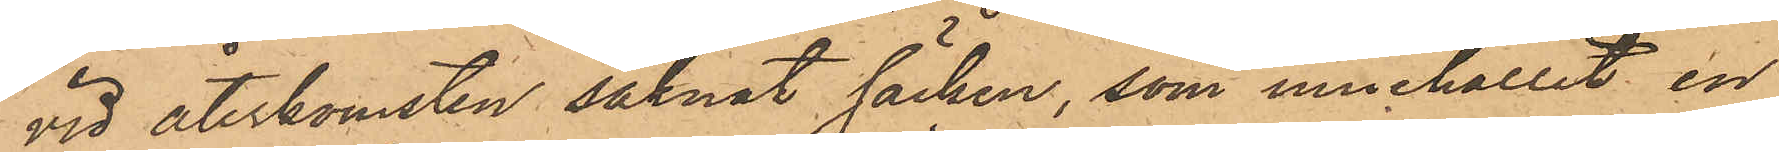vid återkomsten saknat säcken, som innehållit en
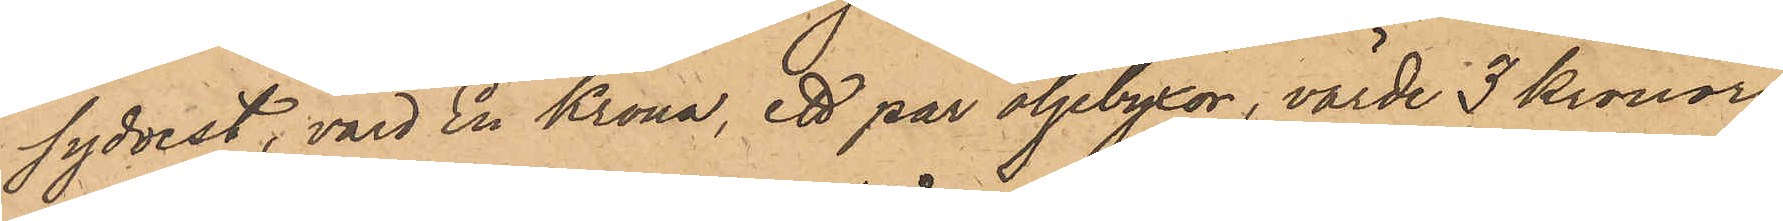sydvest, värd En Krona, ett par oljebyxor, värde 3 Kronor,
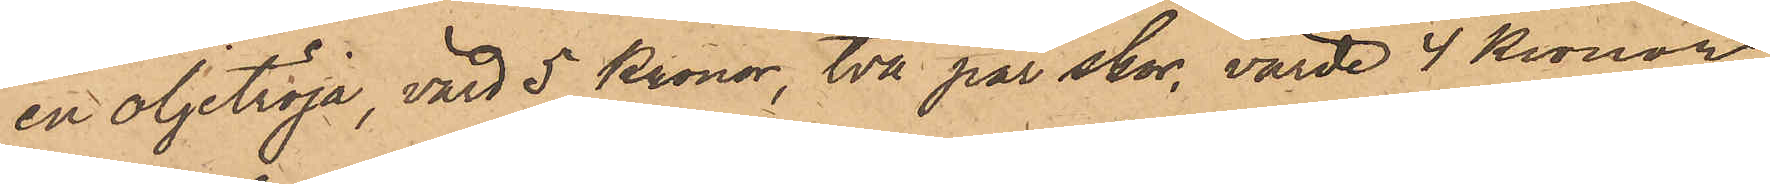en oljetröja, värd 5 Kronor, två par skor, värde 4 Kronor,
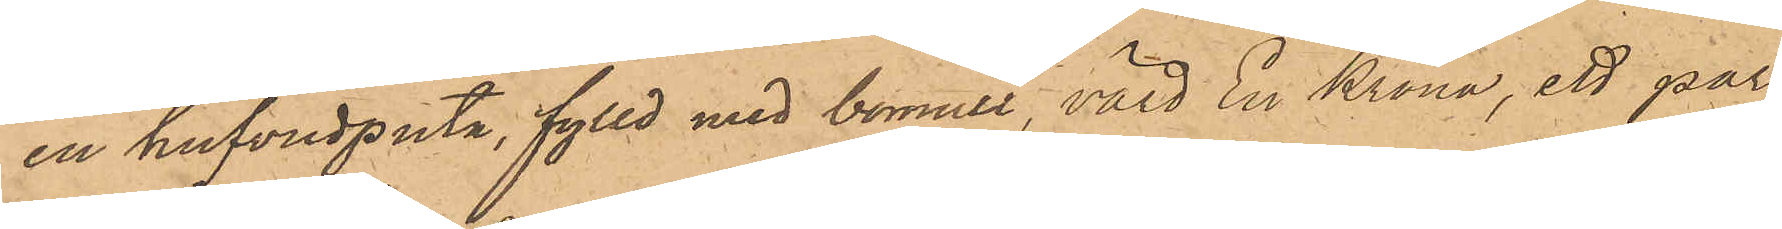en hufvudputa, fylld med bomull, värd En Krona, ett par
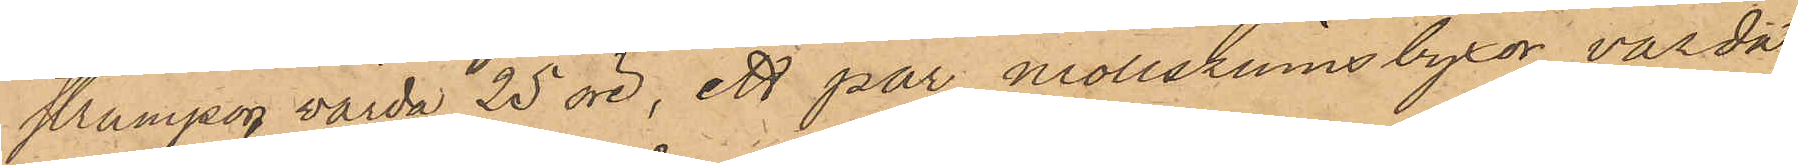strumpor, värde 25 öre, ett par mollskinnsbyxor, värde
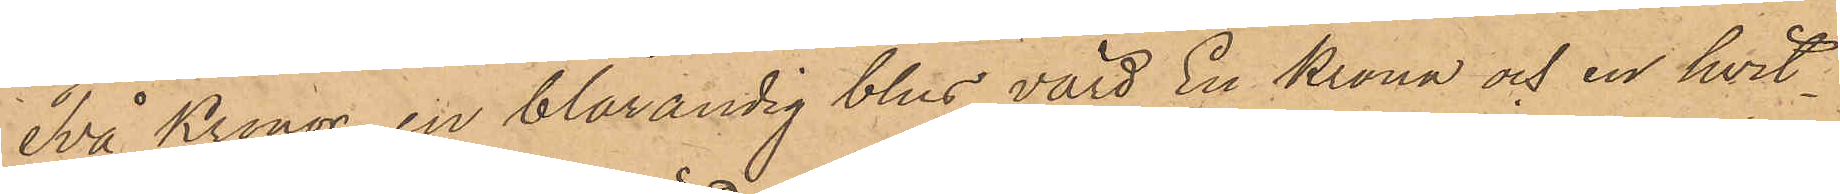Två Kronor, en blårandig blus, värd En Krona och en hvit¬
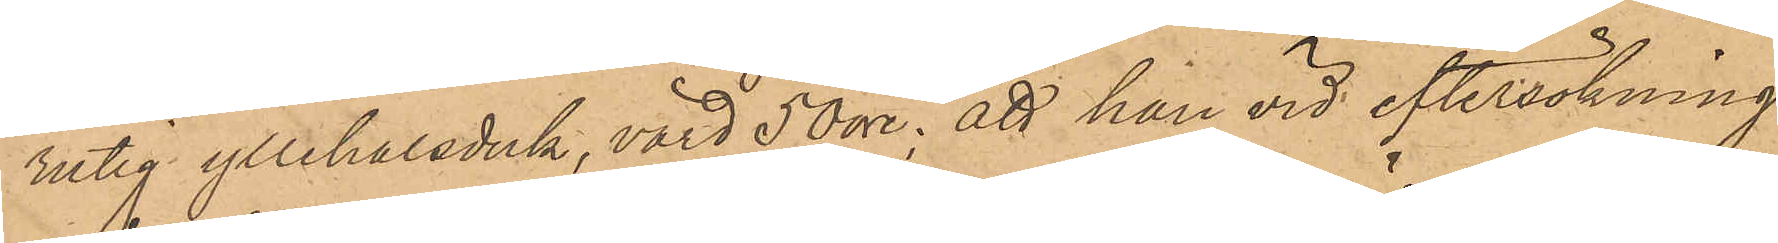rutig yllehalsduk, värd 50 öre; att han vid eftersökning
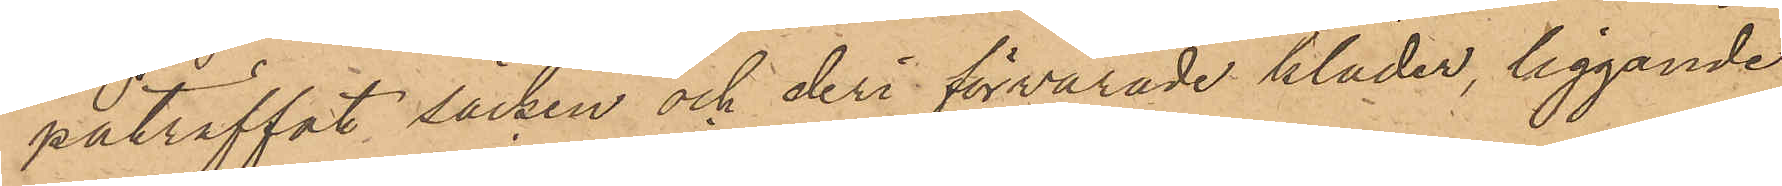påträffat säcken och deri förvarade kläder, liggande
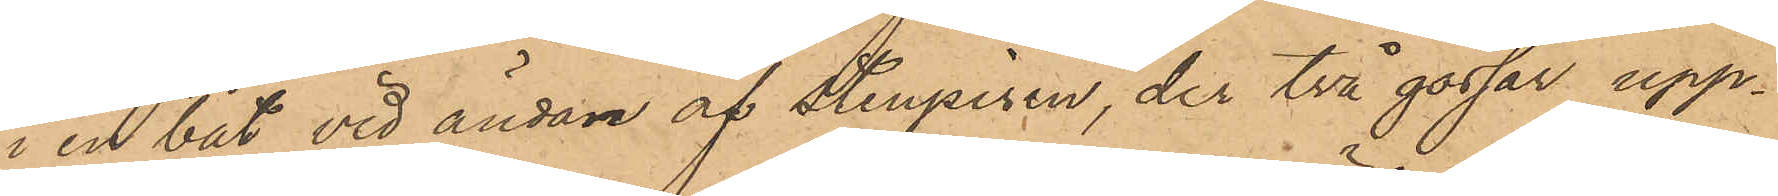i en båt vid ändan af Stenpiren, der två gossar upp¬
